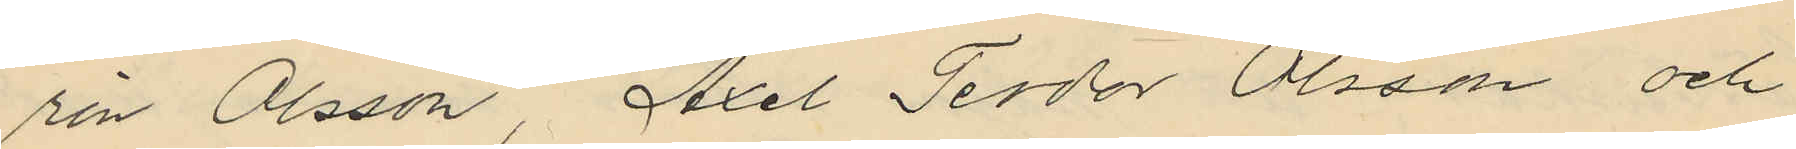rin Olsson, Axel Teodor Olsson och
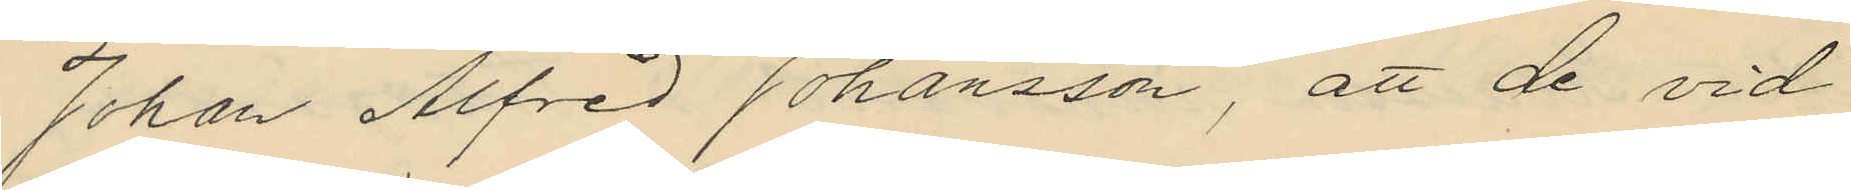Johan Alfred Johansson, att de vid
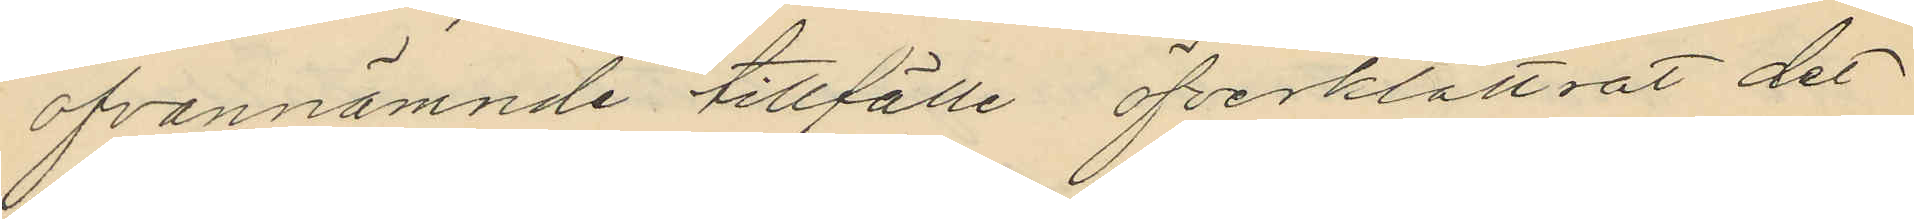ofvannämnde tillfälle öfverklättrat det
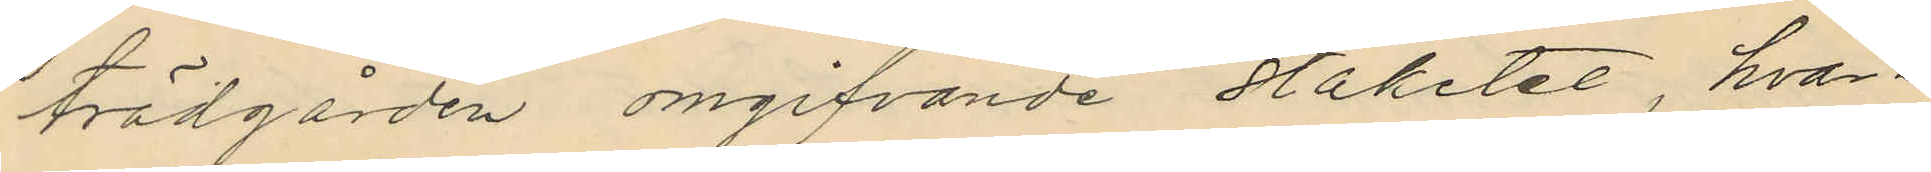trädgården omgifvande staketet, hvar¬
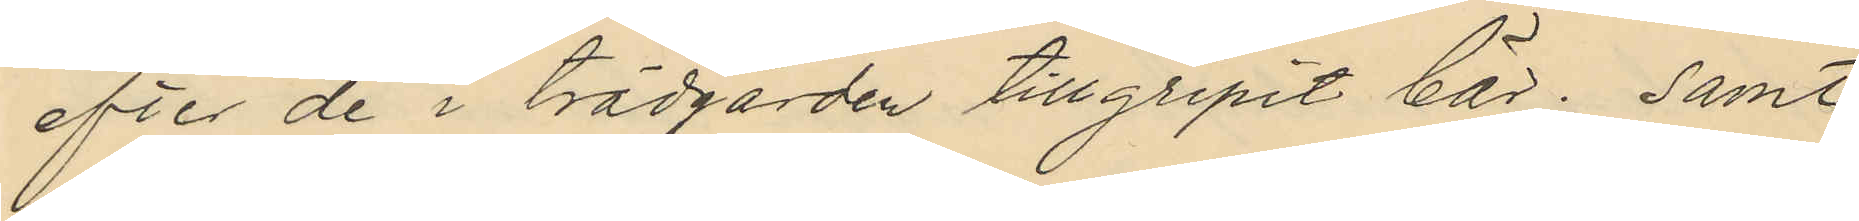efter de i trädgården tillgripit bär; samt
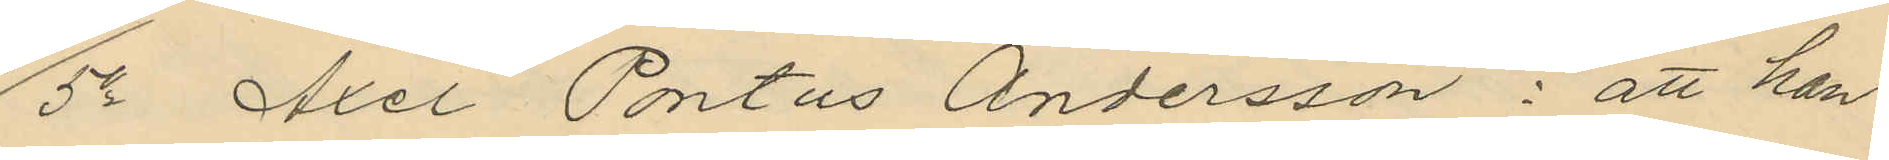5o Axel Pontus Andersson: att han
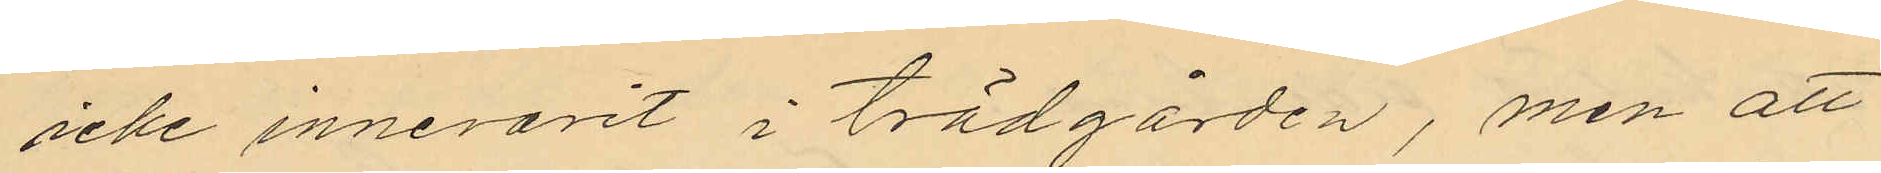icke innevarit i trädgården, men att
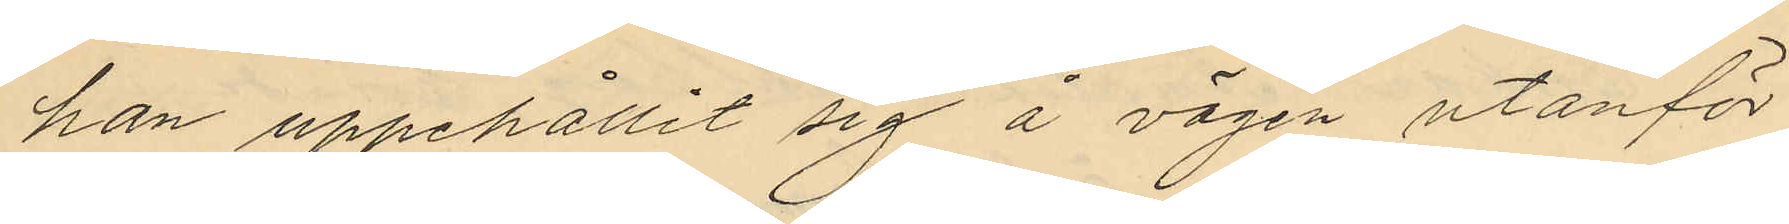han uppehållit sig å vägen utanför
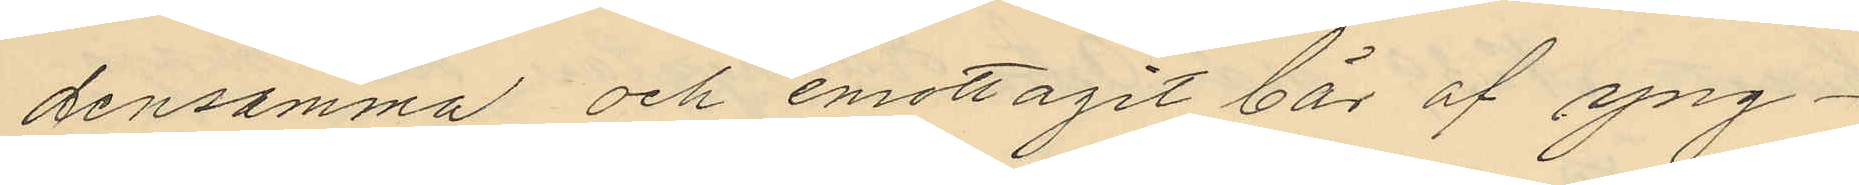densamma och emottagit bär af yng¬
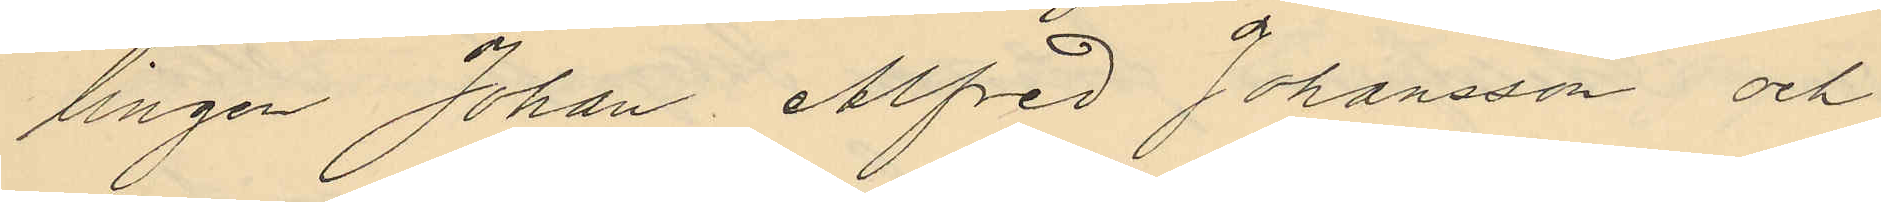lingen Johan Alfred Johansson och
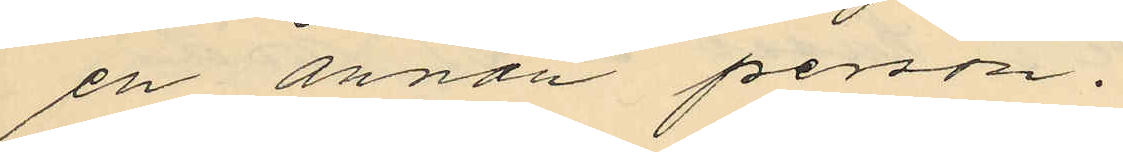en annan person.
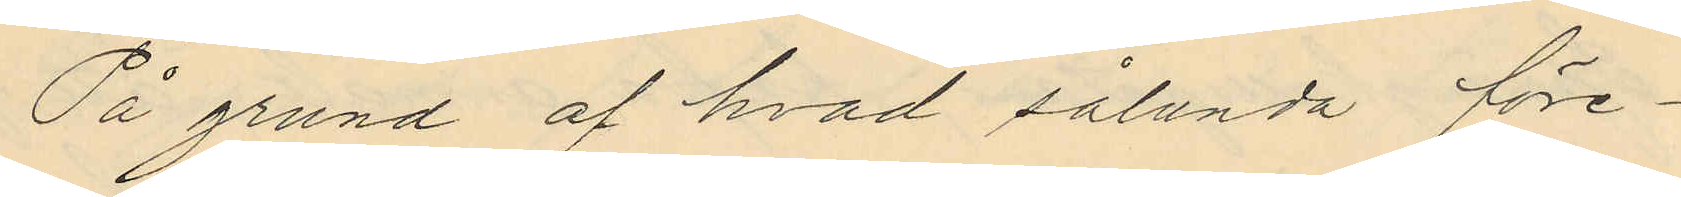På grund af hvad sålunda före¬
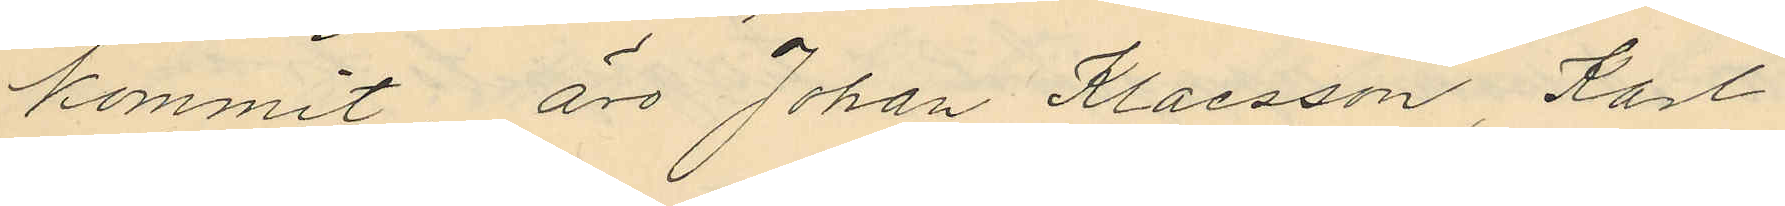kommit äro Johan Klaesson, Karl
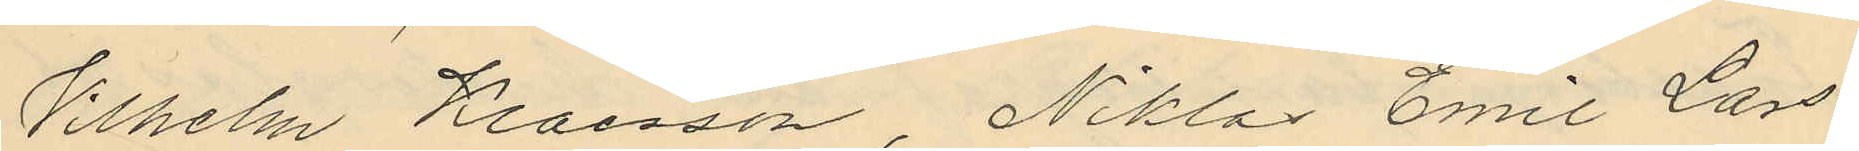Vilhelm Klaesson, Niklas Emil Lars¬
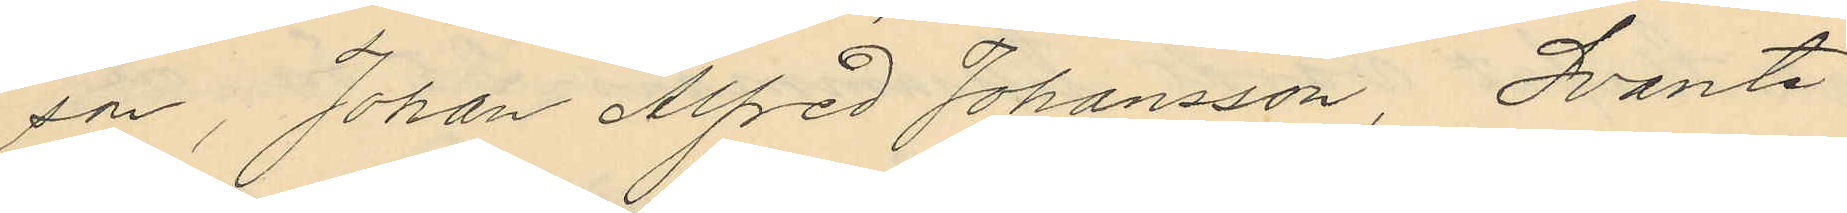son, Johan Alfred Johansson, Svante
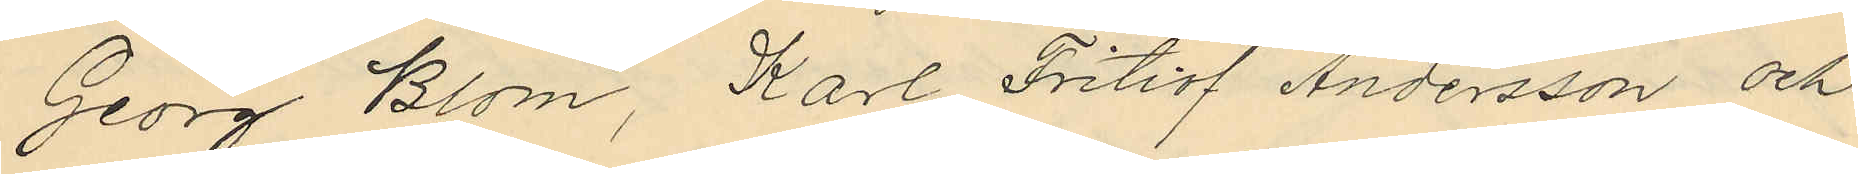Georg Blom, Karl Fritiof Andersson och
